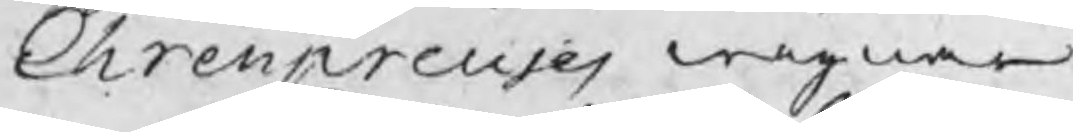Ehrenpreus wägnar
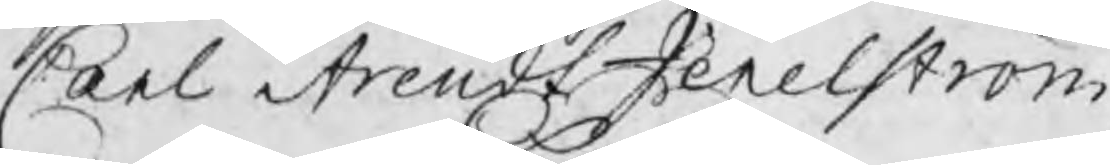Carl Arendt Jenelström
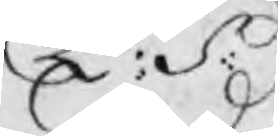E: S:
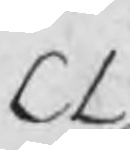CL
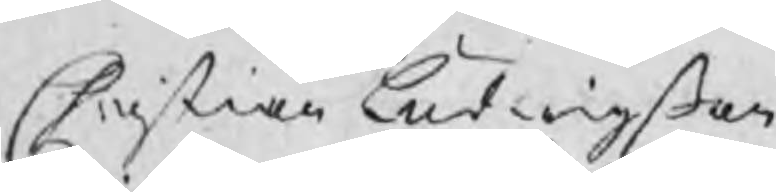Christian Ludwigßon
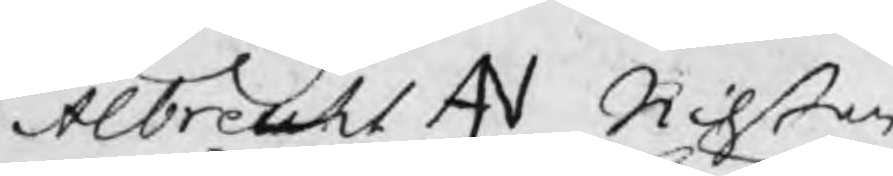Albrecht AN Nilßon
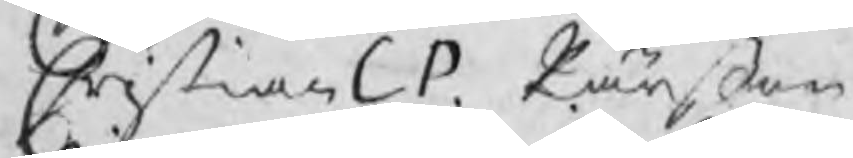Christian CP. Pärßon
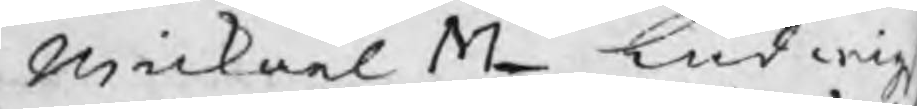Mickael ML Ludwig
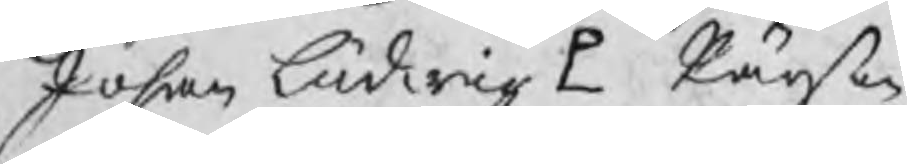Johan Ludwig P Pärßon
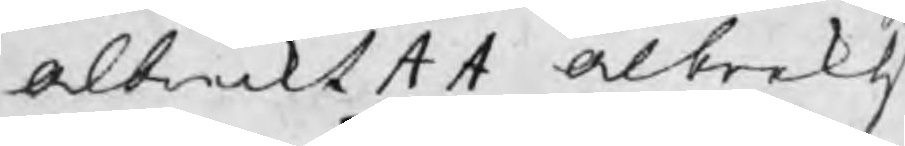Albreckt A A Albrekts
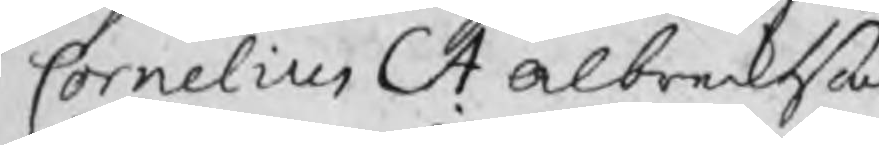Cornelius CA Albrecktßon
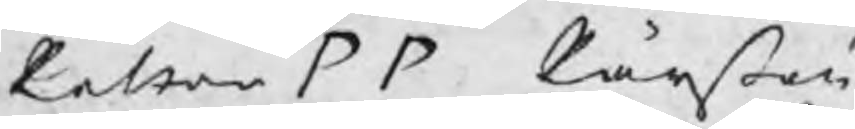Petter PP Pärßon
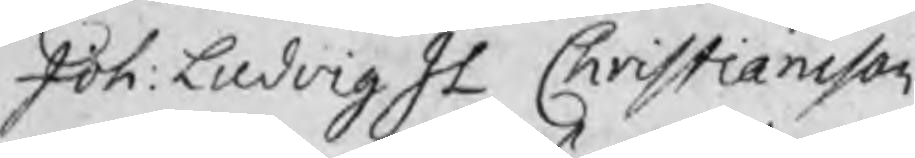Joh: Ludvig JL Christiansson.
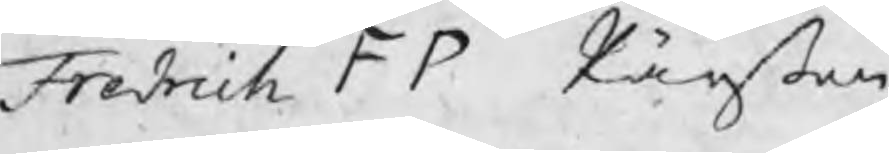Fredrich F P Pärßon
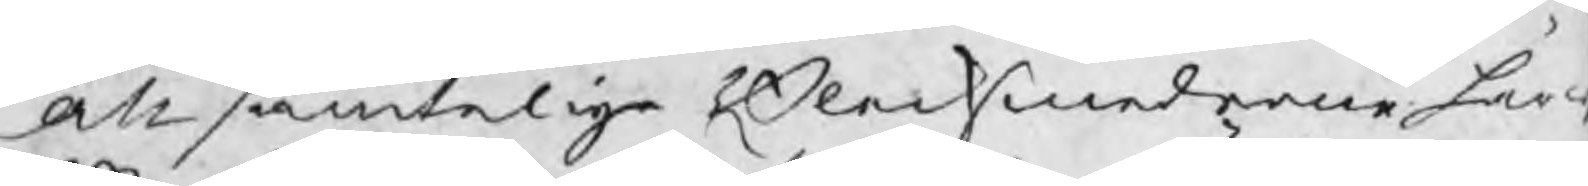Att samtelige Blecksmederne här w
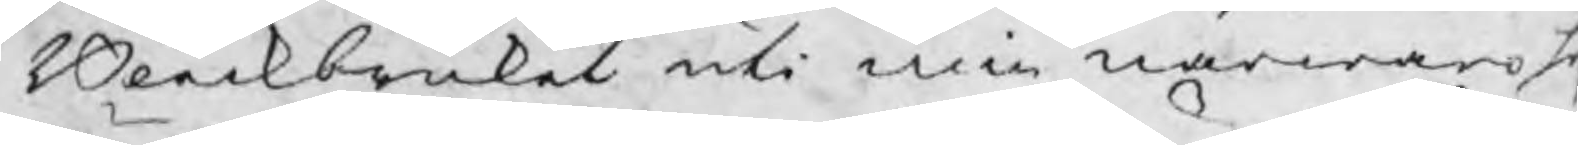Bleckbruket uti min närwaro h
